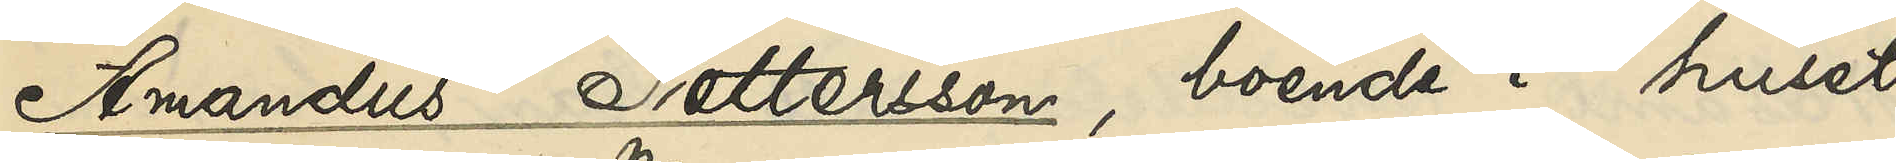Amandus Pettersson, boende i huset
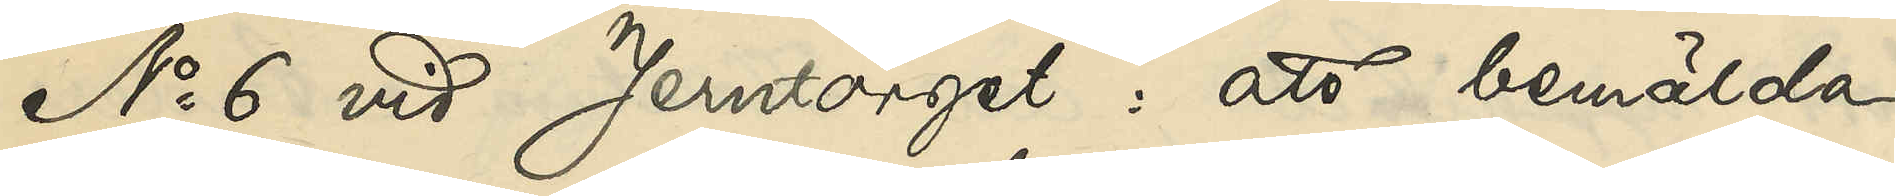No 6 vid Jerntorget: att bemälda
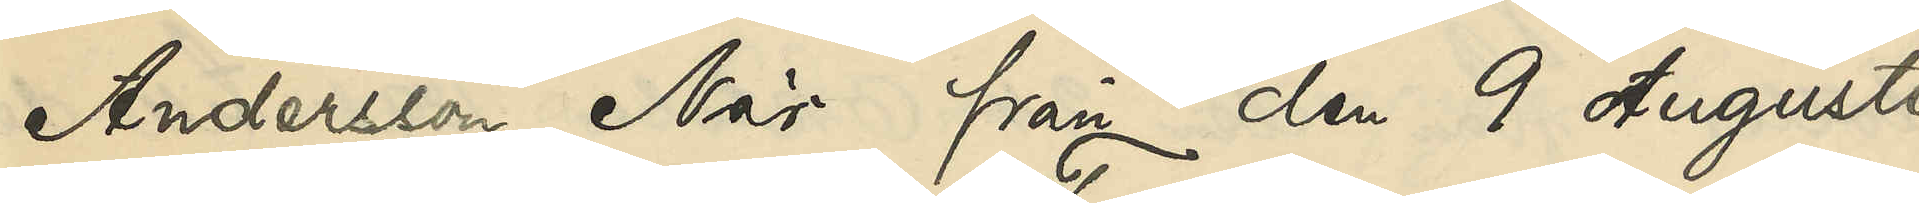Andersson När från den 9 Augusti
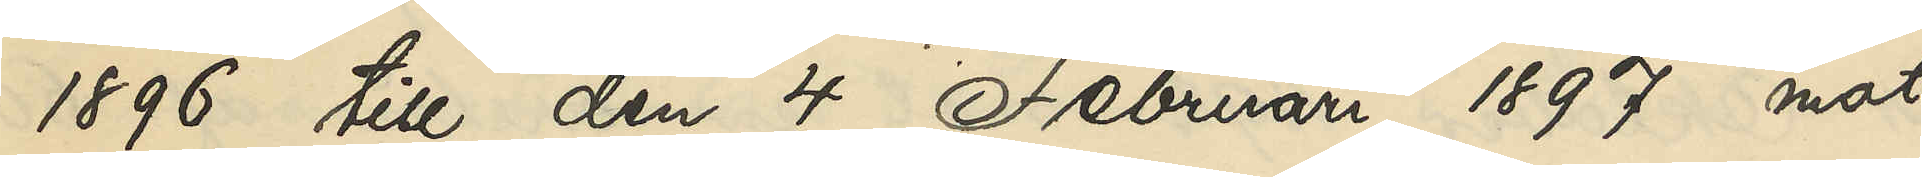1896 till den 4 Februari 1897 mot
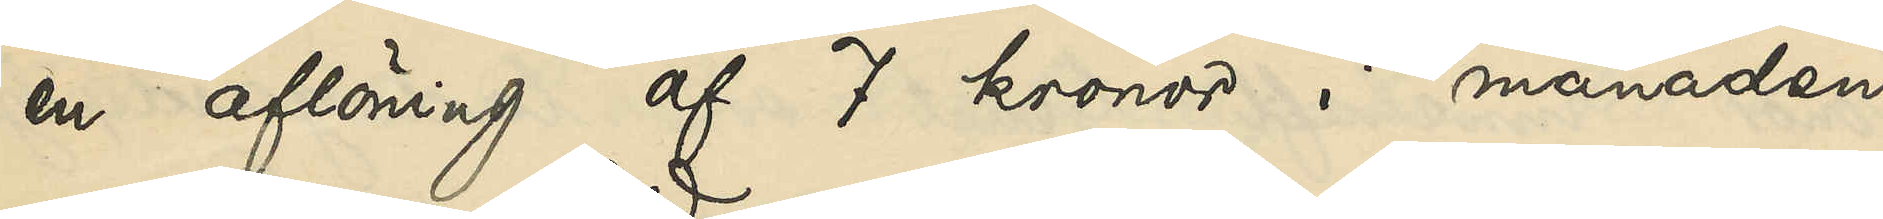en aflöning af 7 kronor i månaden
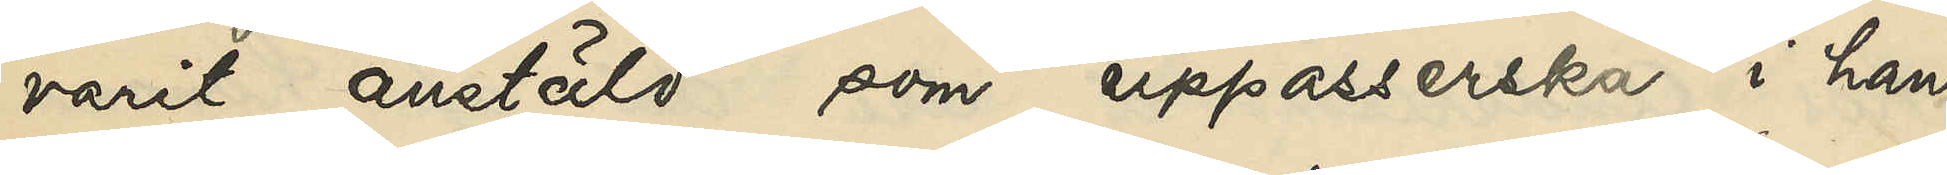varit anstäld som uppasserska i hans
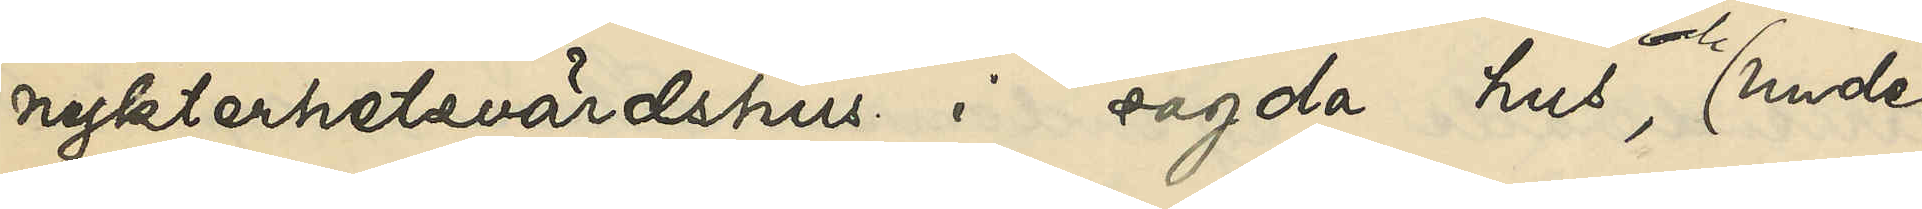nykterhetsvärdshus i sagda hus och under
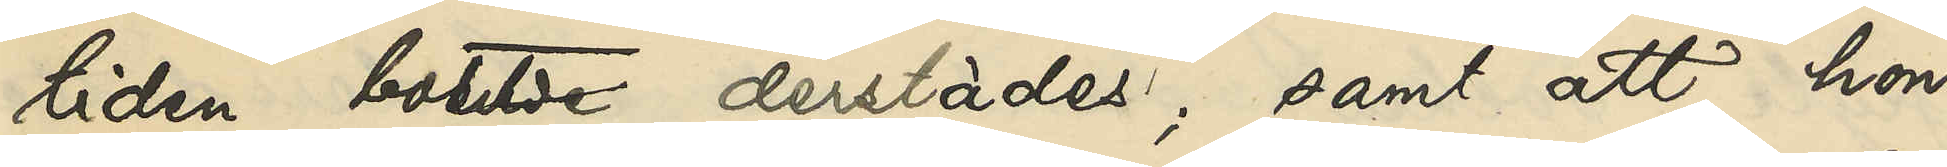tiden bott derstädes; samt att hon,
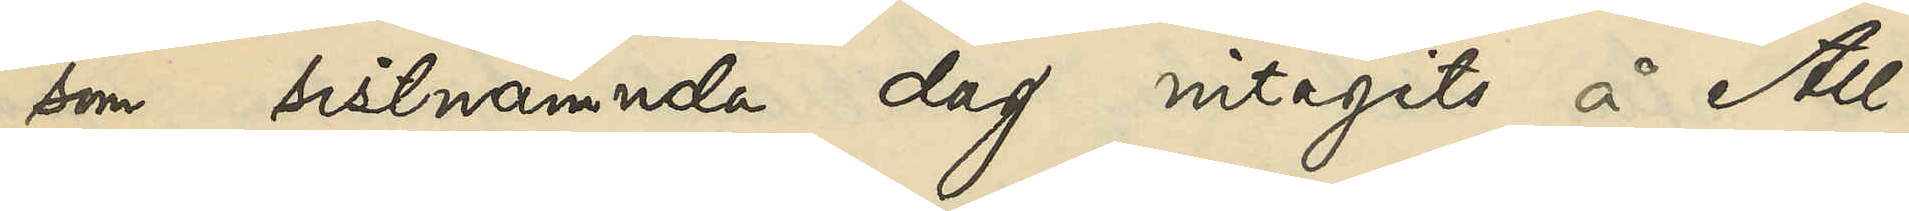som sistnämnda dag intagits å All¬
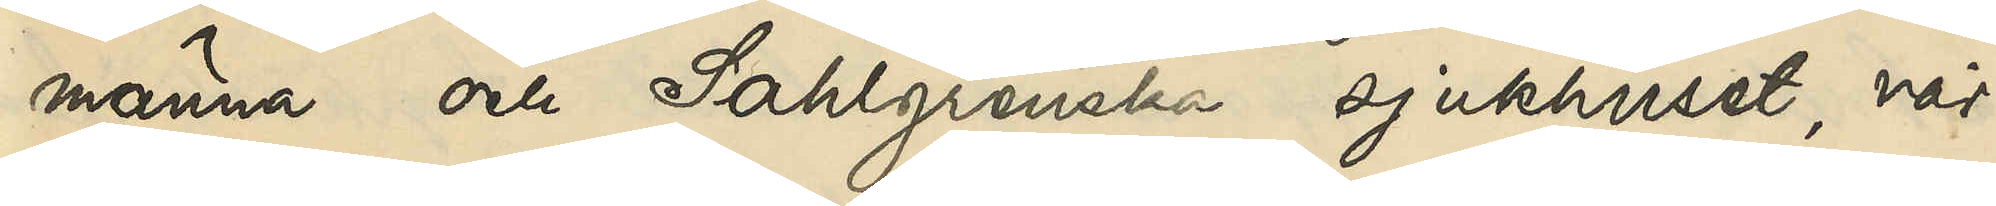männa och Sahlgrenska sjukhuset, vår¬
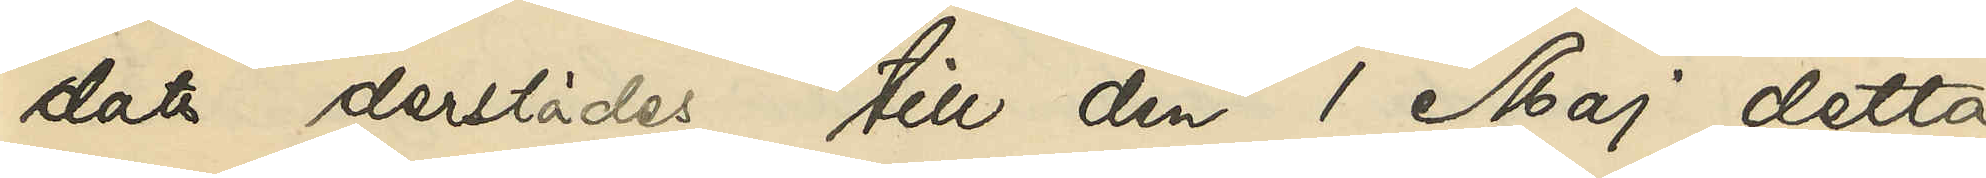dats derstädes till den 1 Maj detta
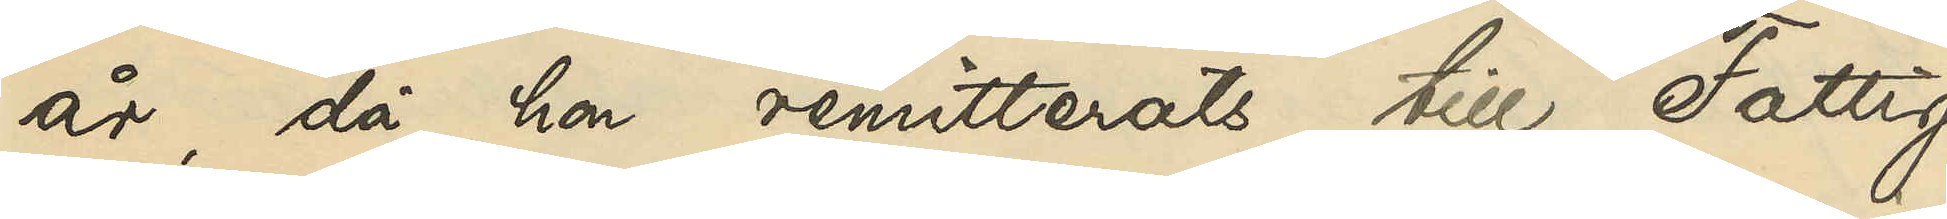år, då hon remitterats till Fattig¬
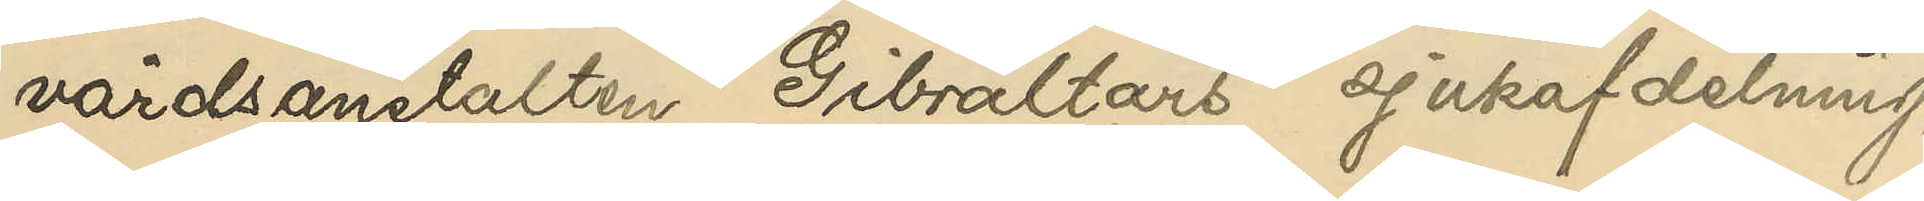vårdsanstalten Gibraltars sjukafdelning,
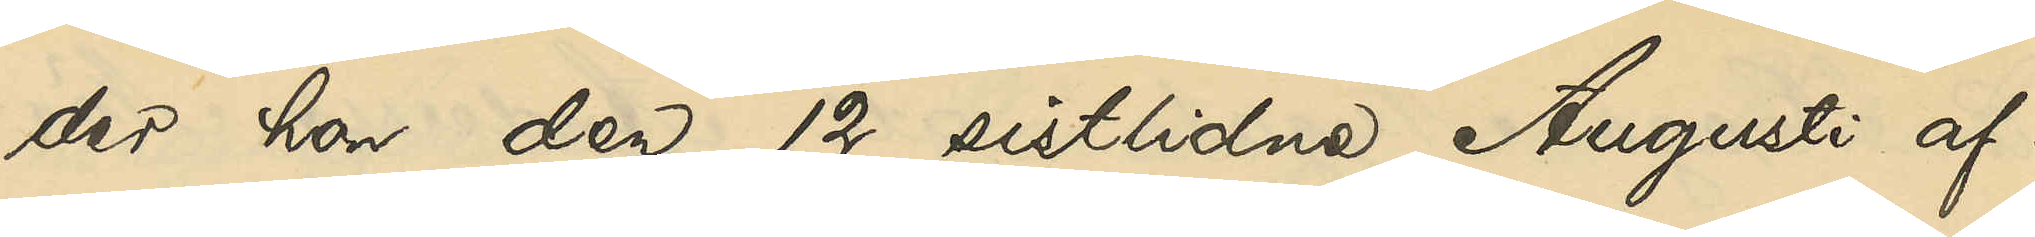der hon den 12 sistlidne Augusti af¬
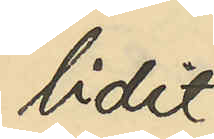lidit.
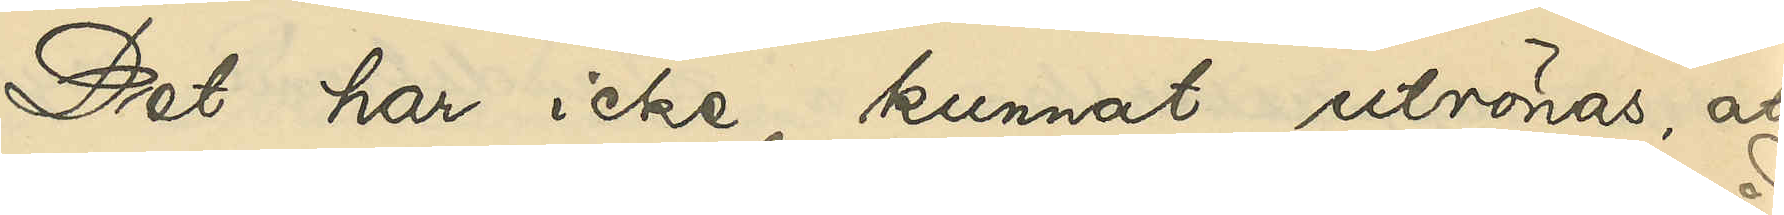Det har icke kunnat utrönas, att
